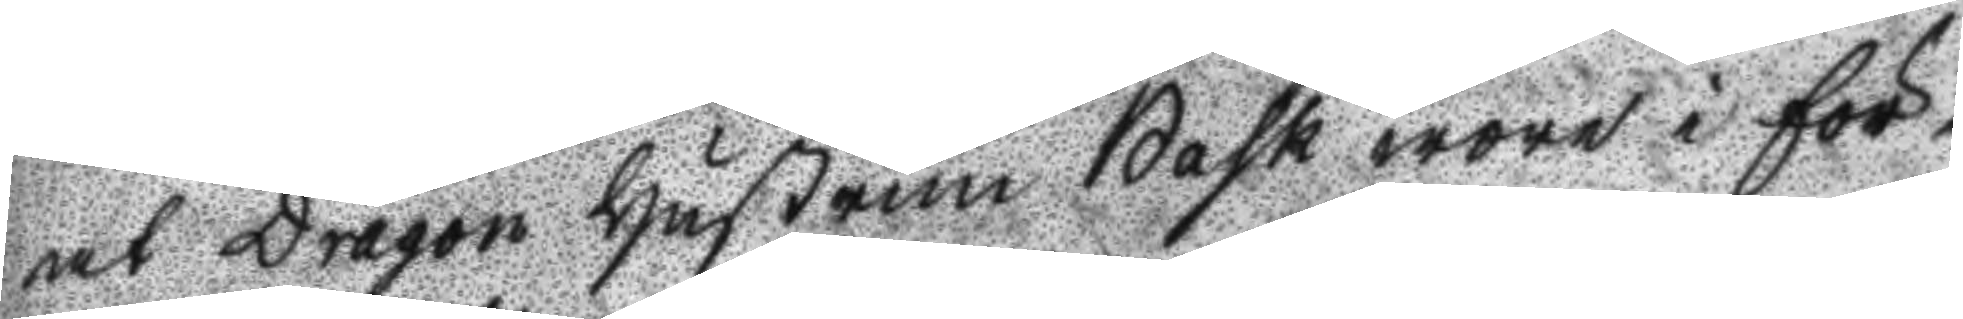at Dragon Hustrun bask wore i för¬
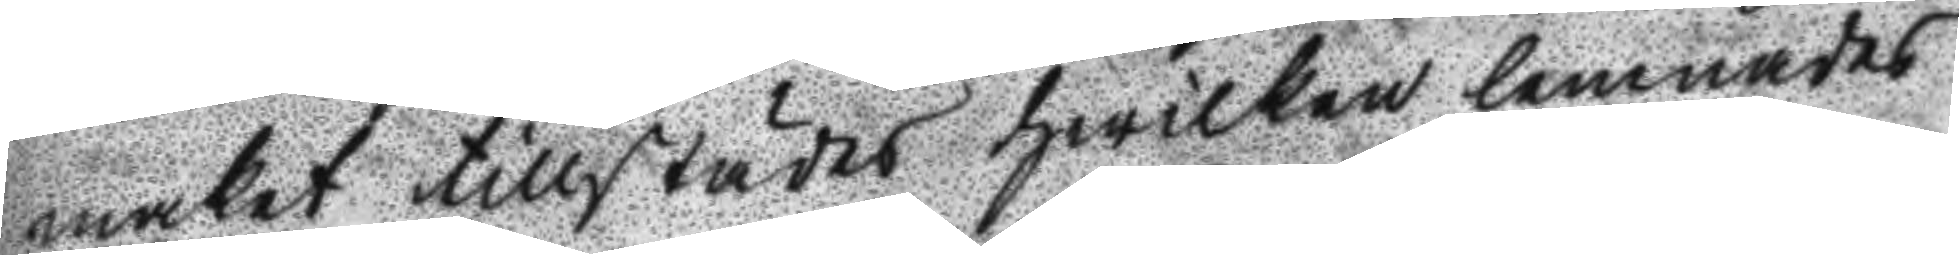maket tillstädes hwilken lemnades
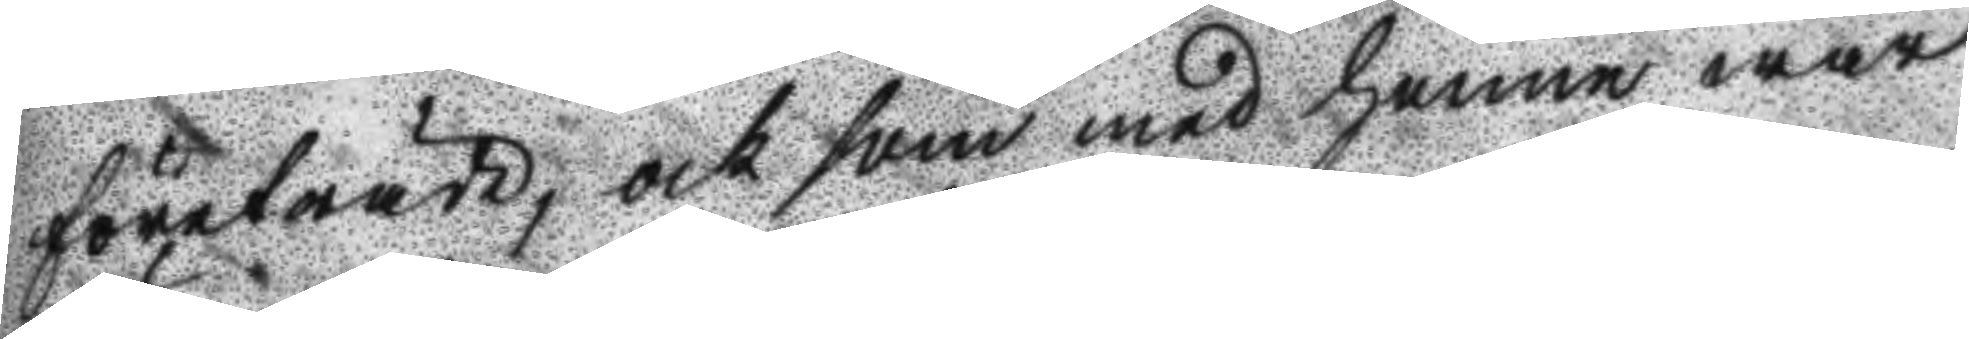företräde, och som med henne war
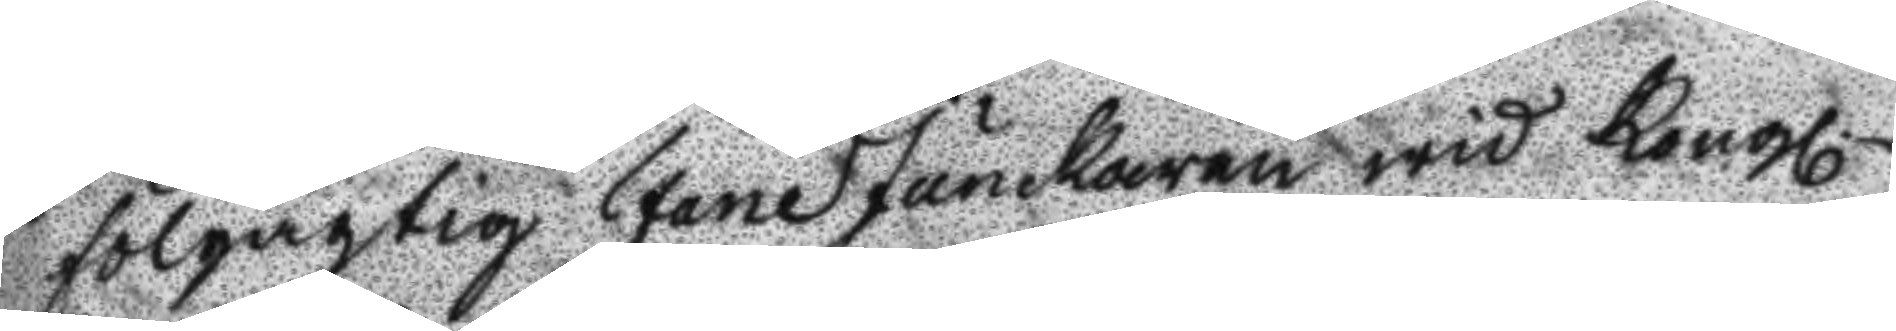fölgagtig FaneJunckaren wid Kongl
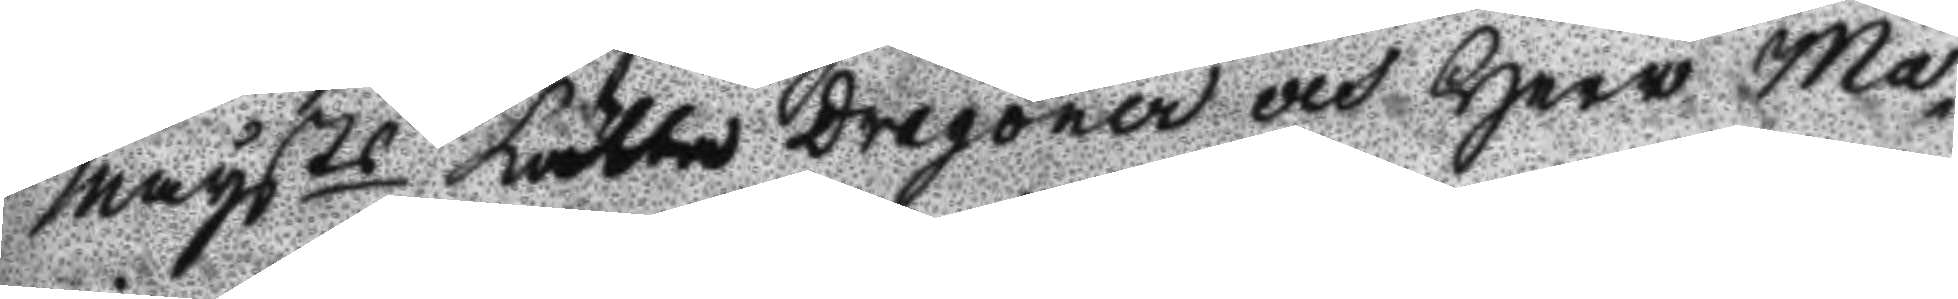Maysts Lätta Dragoner och Herr Ma¬
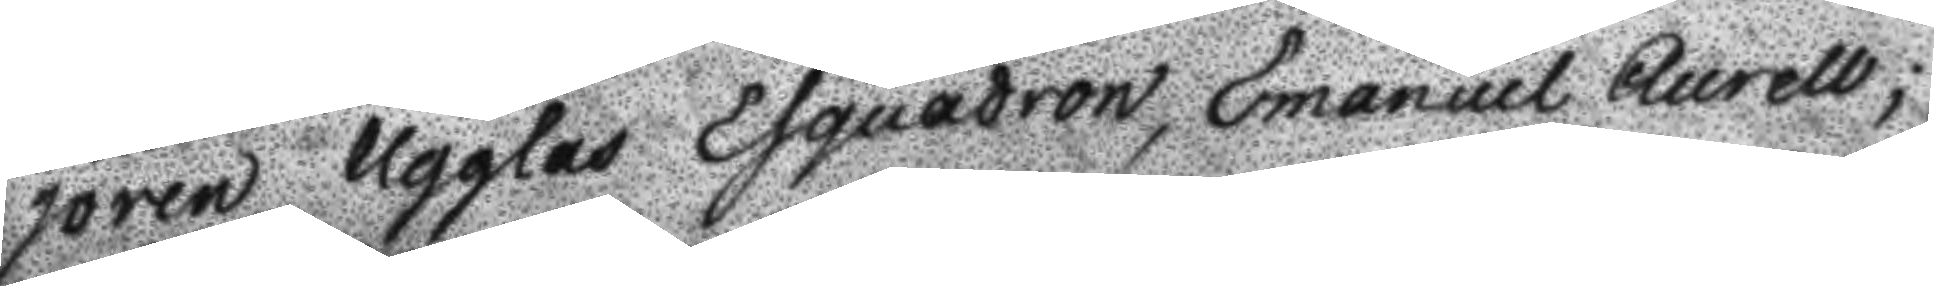joren Ugglas Esquadron, Emanuel Aurell;
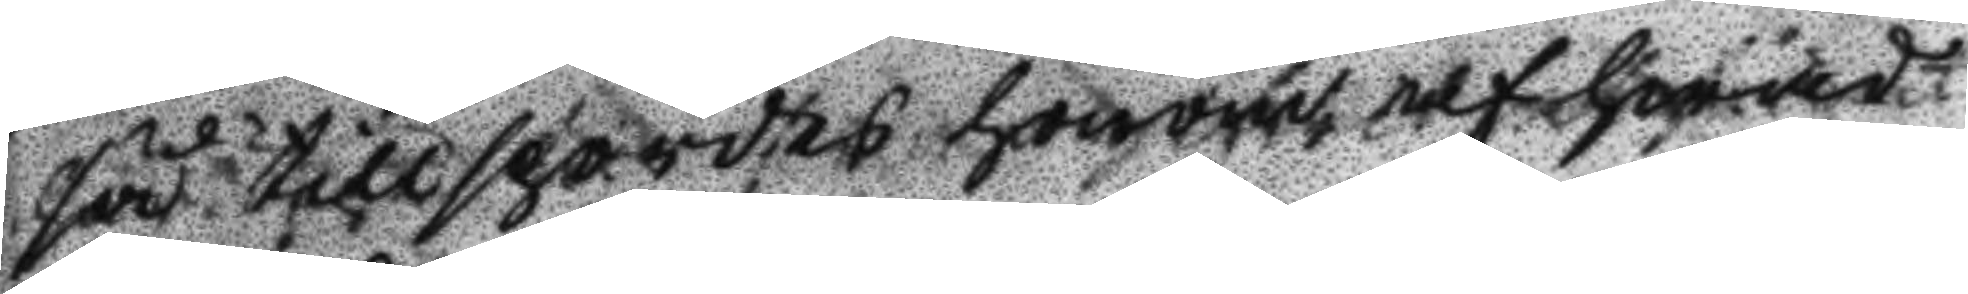så tillspordes honom af hwad
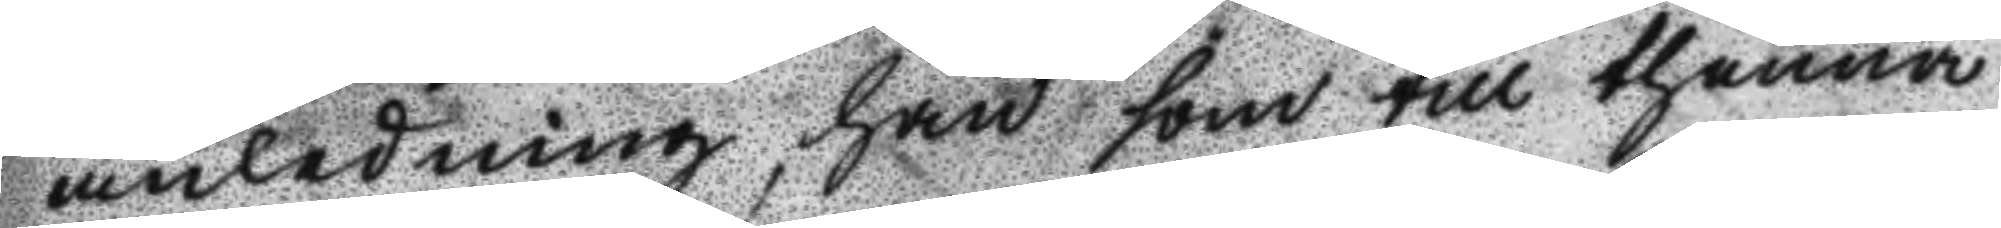anledning han som till thenna
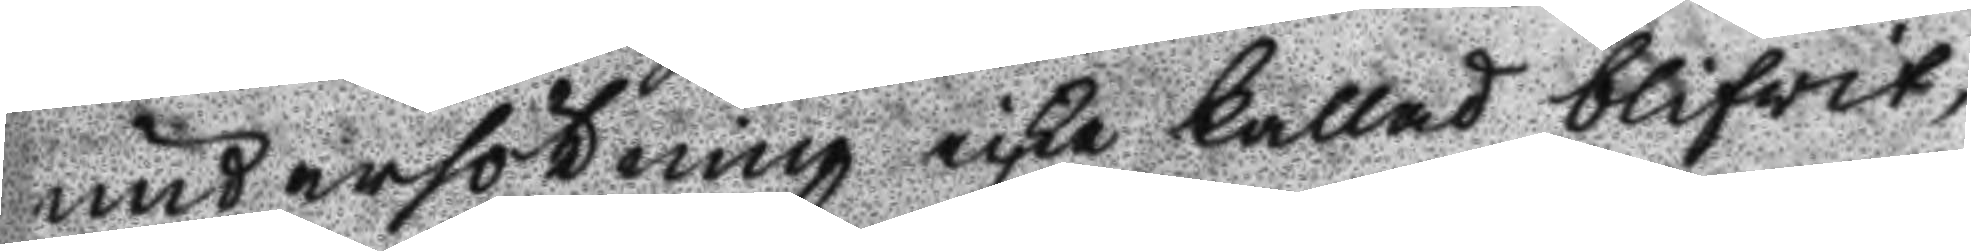undersökning icke kallad blifwit,
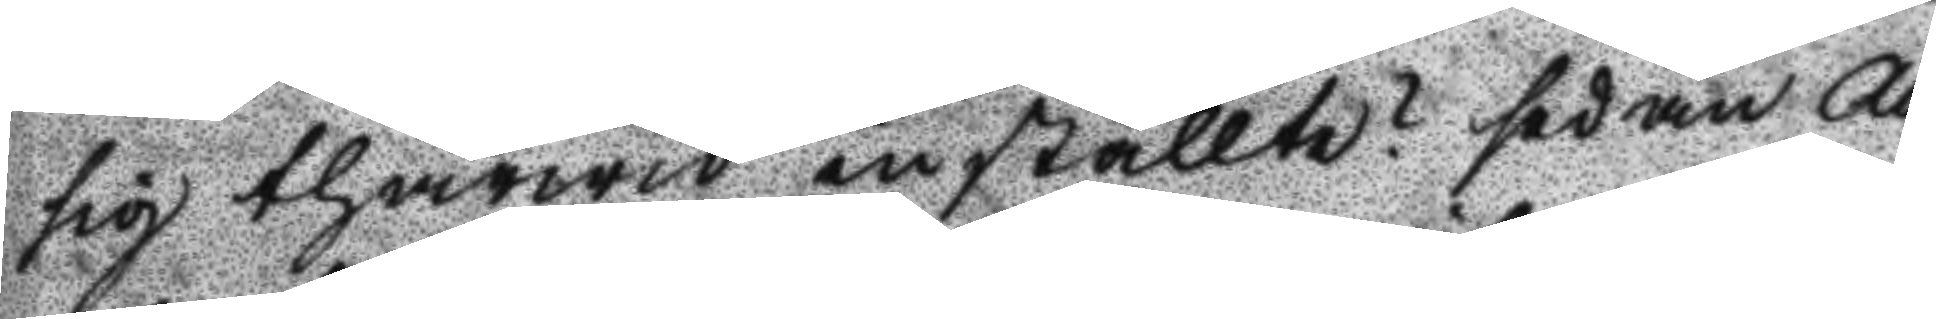sig thärwid inställte? sedan Au
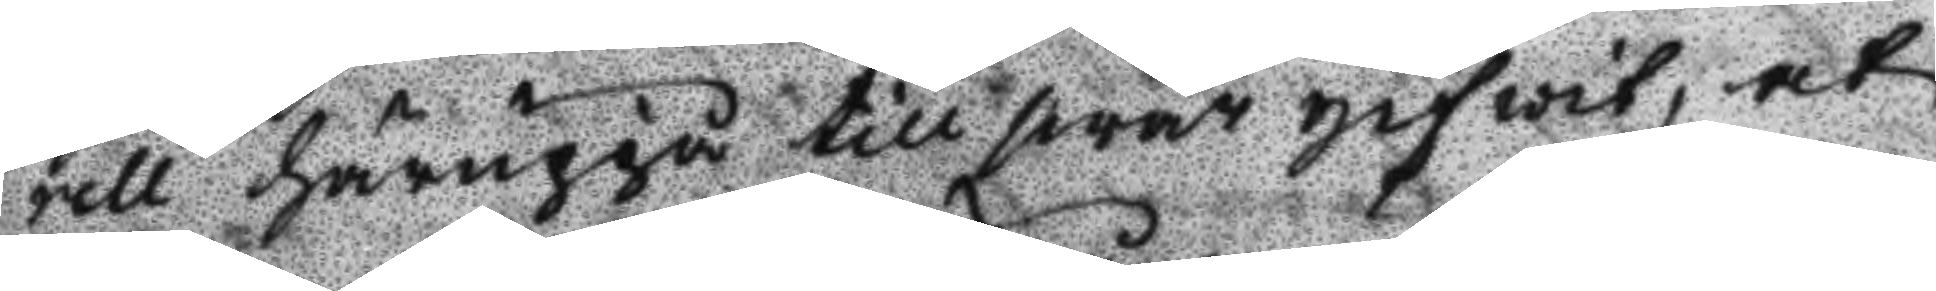rell häruppå till swar gifwit, at
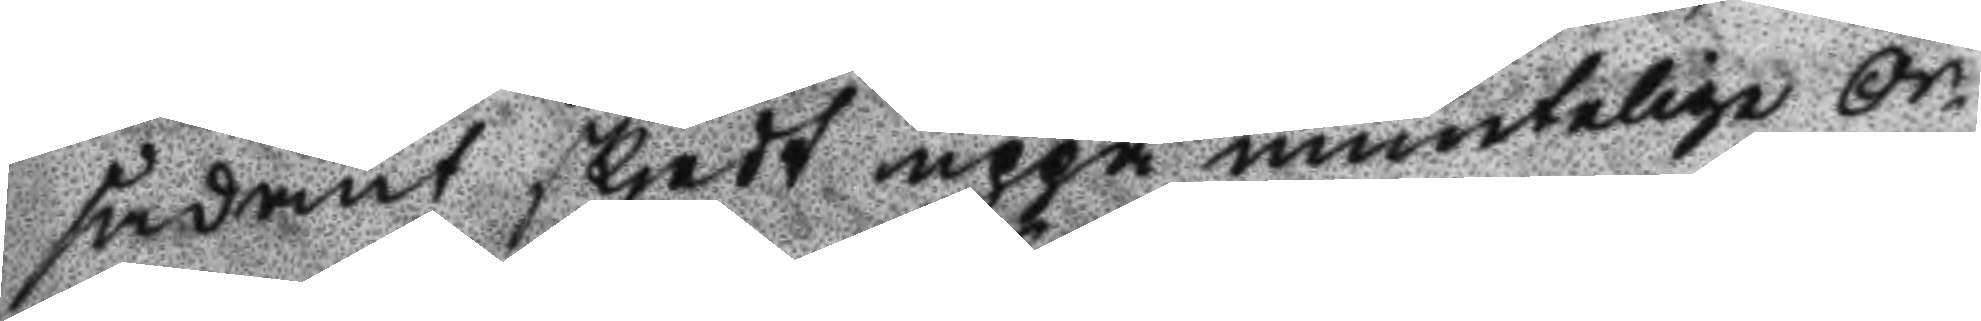sådant skjedt uppå muntelige Or¬
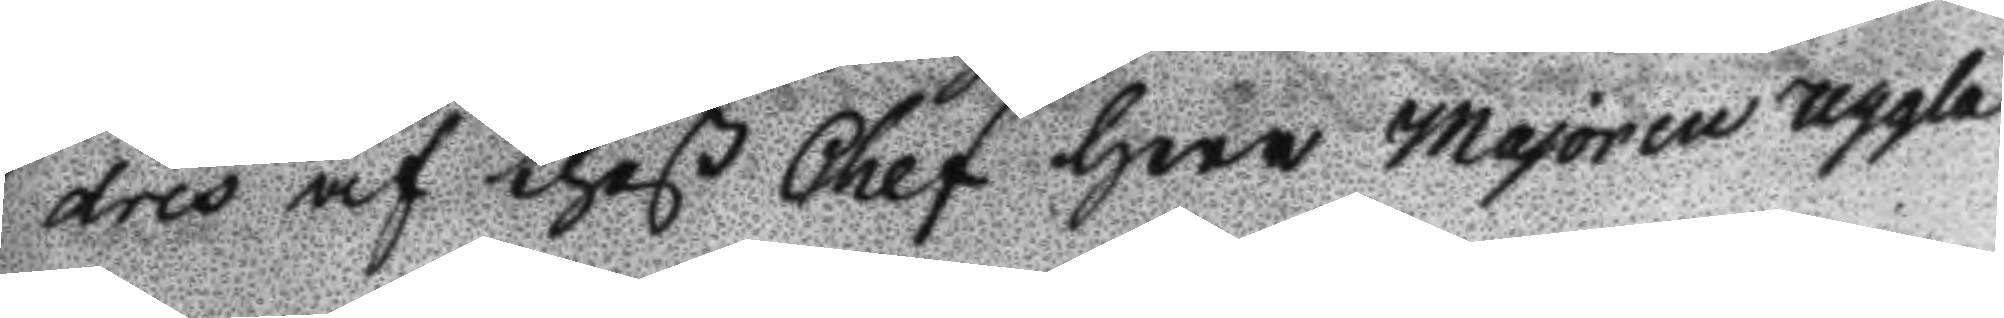dres af theß Chef Herr Majoren Uggla
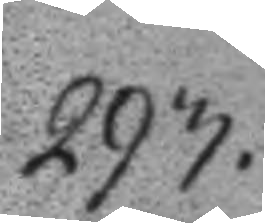293.
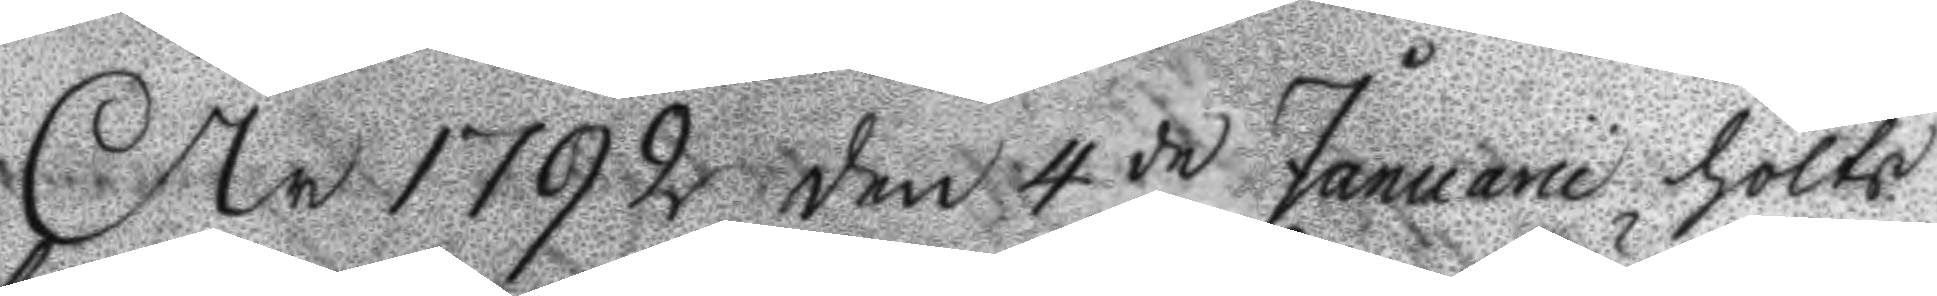År 1792 den 4 de Januarii hölts
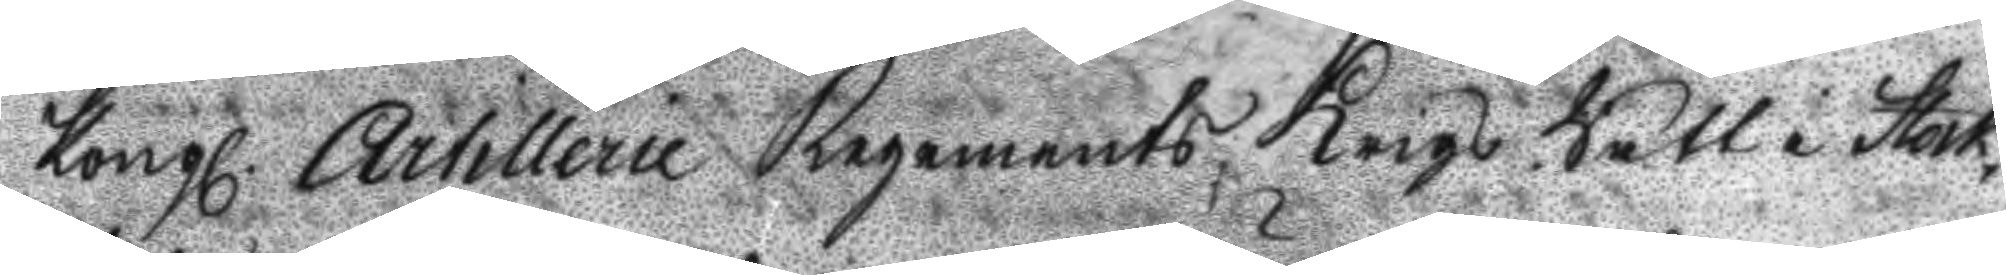Kongl. Artillerie Regements Krigz Rätt i Stock¬
